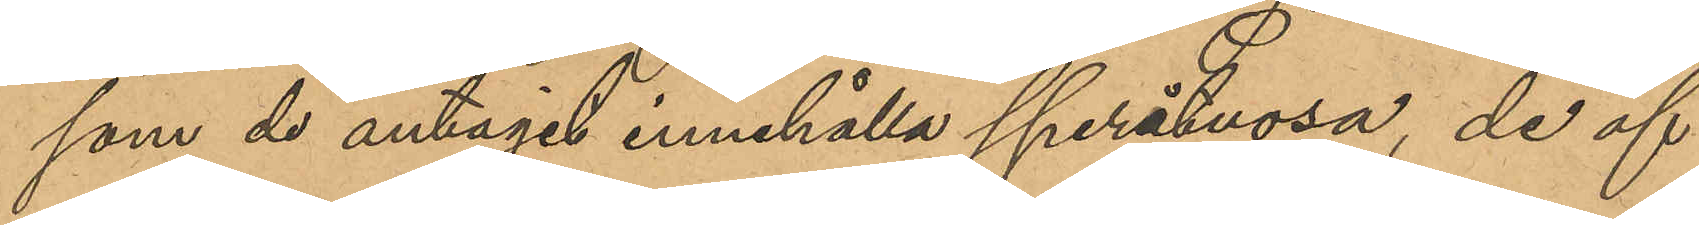som de antagit innehålla speråtuosa, de öf¬
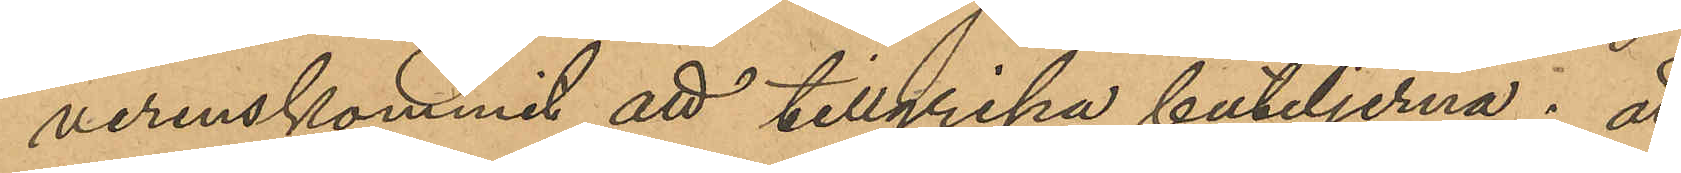verenskommit att tillgripa buteljerna; att
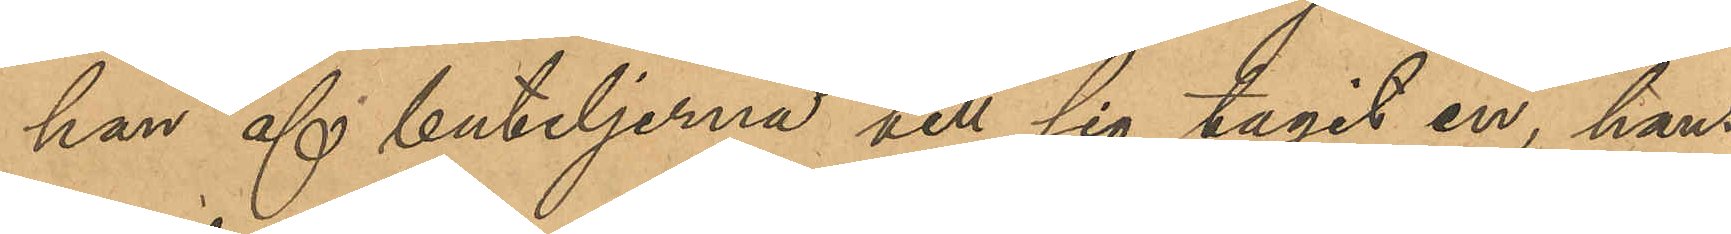han af buteljerna till sig tagit en, hans
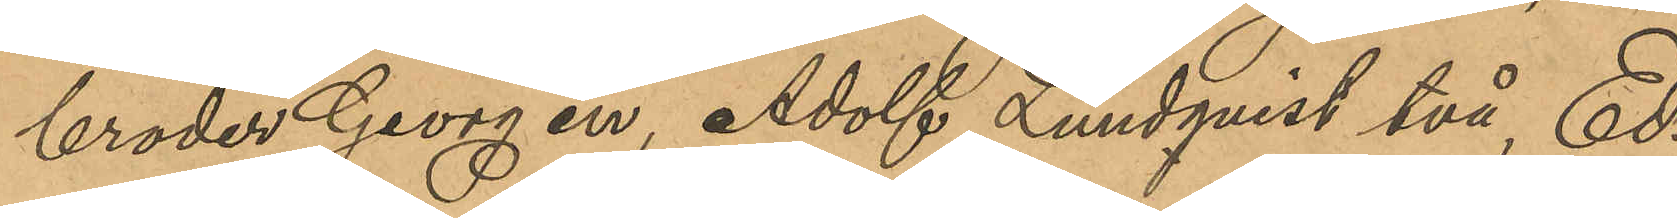broder Georg en, Adolf Lundqvist två, Ed¬
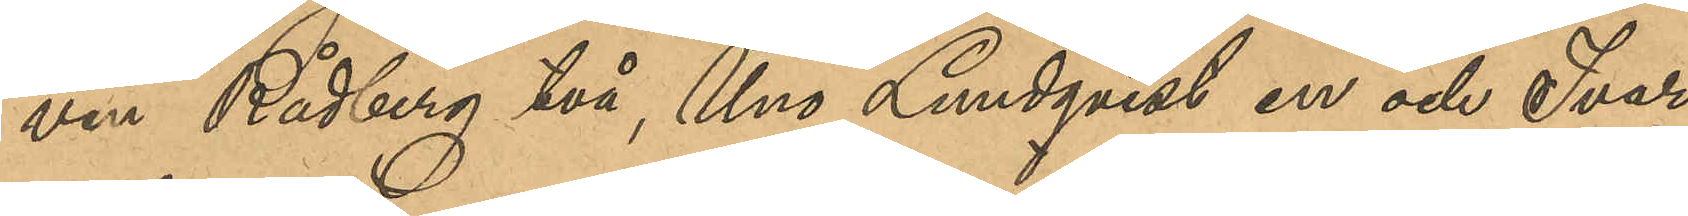vin Rådberg två, Uno Lundqvist en och Ivar
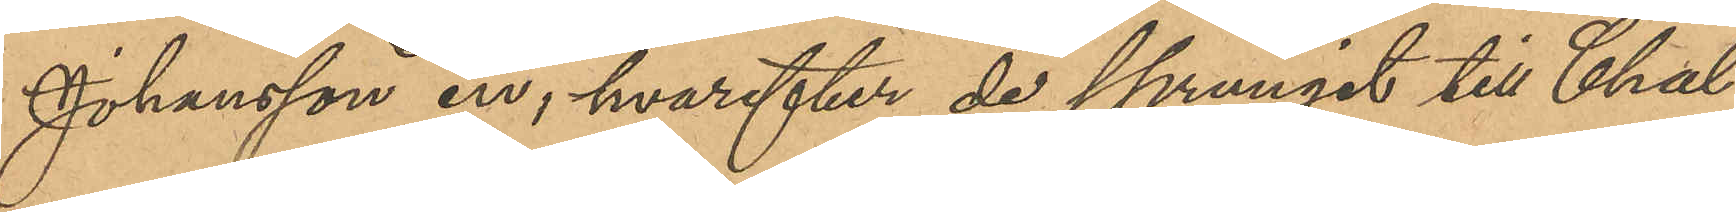Johansson en, hvarefter de sprungit till Chal¬
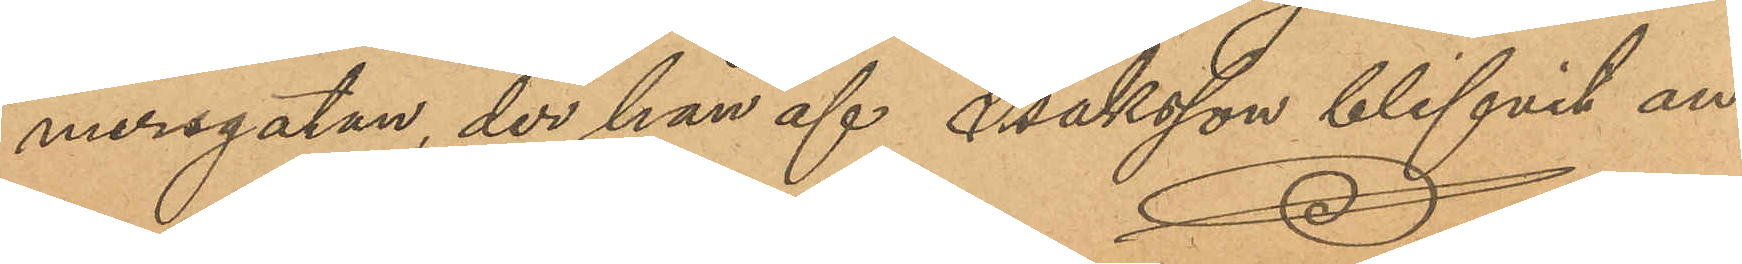mersgatan, der han af Isaksson blifvit an¬
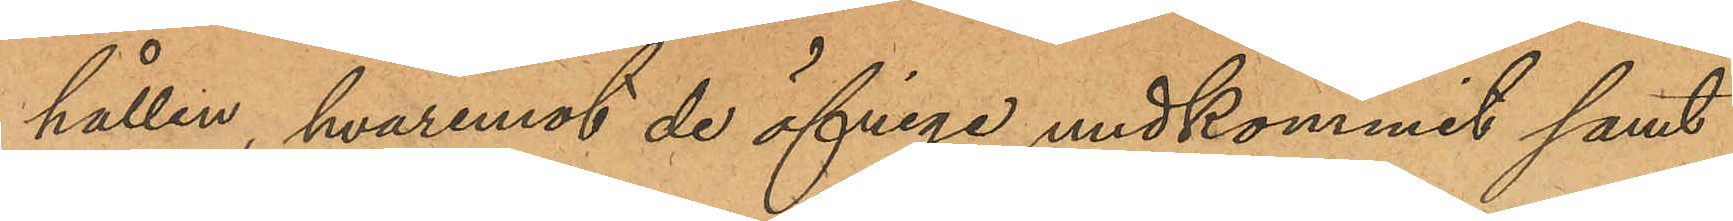hållen, hvaremot öfriga undkommit samt
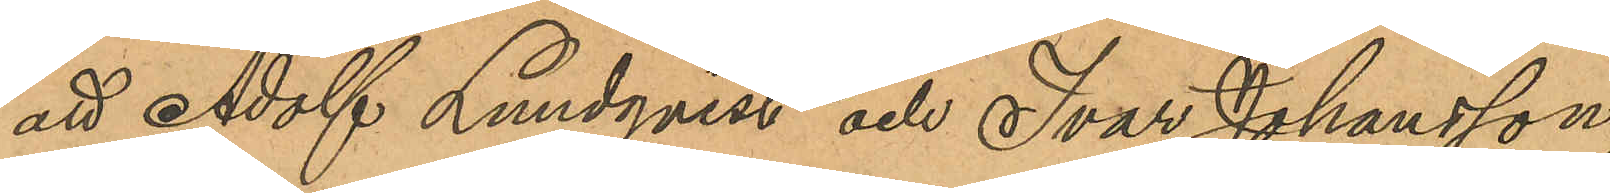att Adolf Lundqvist och Ivar Johansson,
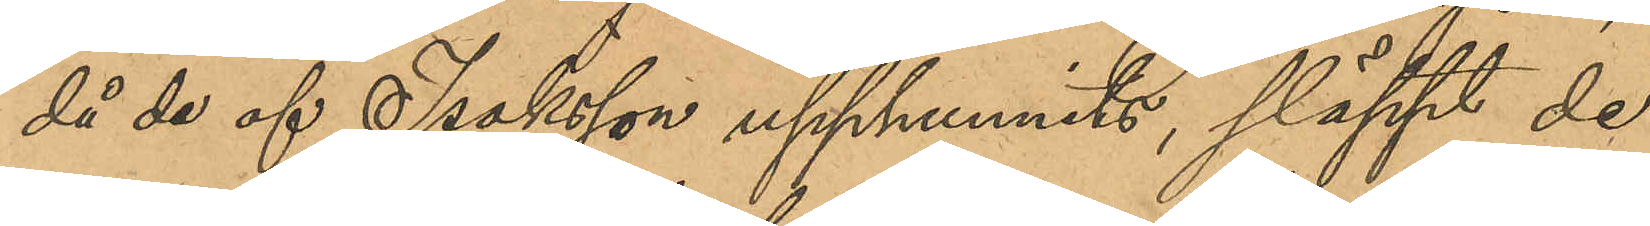då de af Isaksson upphunnits, släppt de
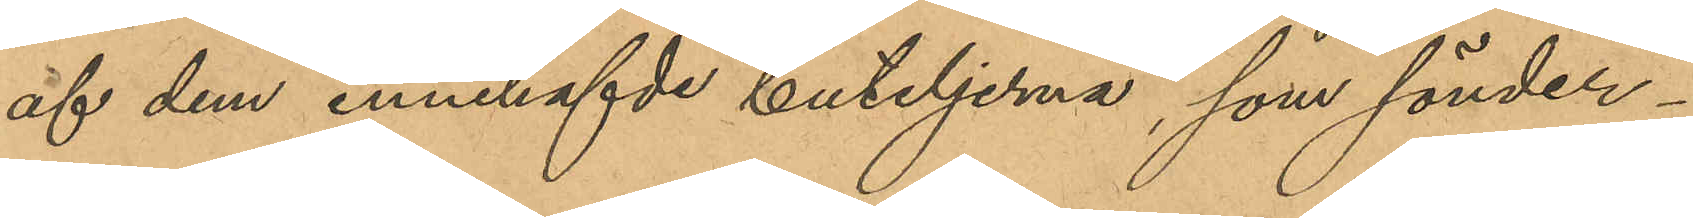af dem innehafvde buteljerna, som sönder¬
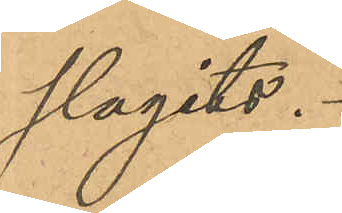slagits.
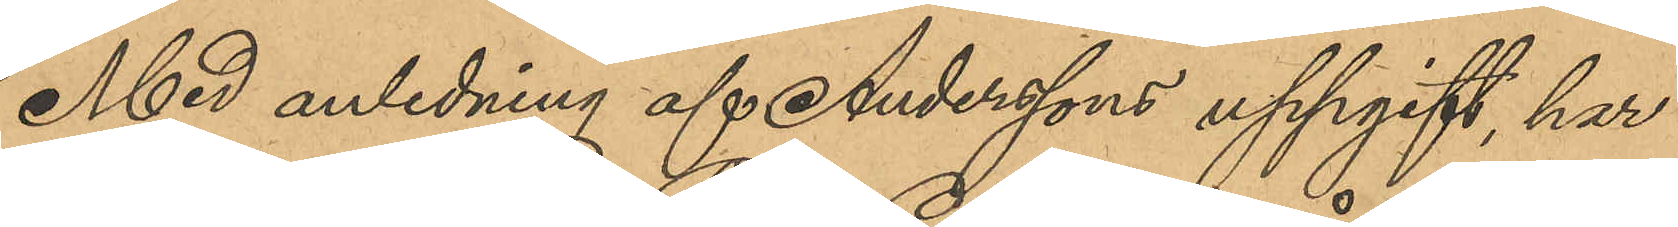Med anledning af Anderssons uppgift, har
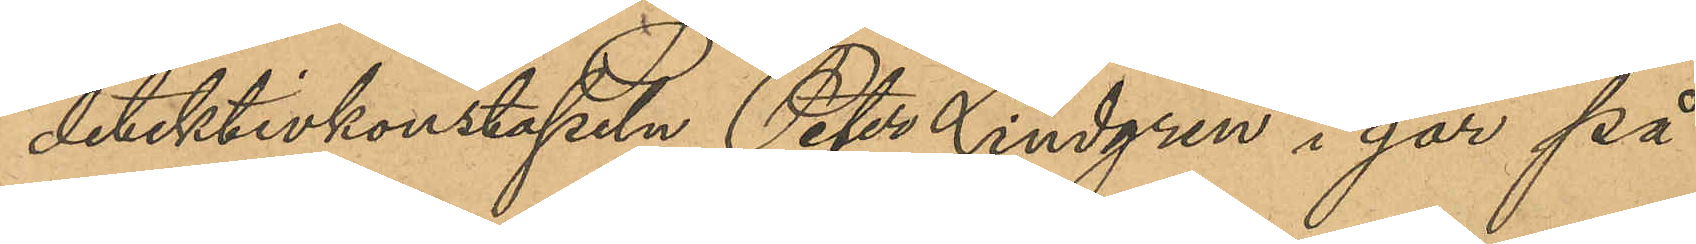detektivkonstapeln Peter Lindgren i går på
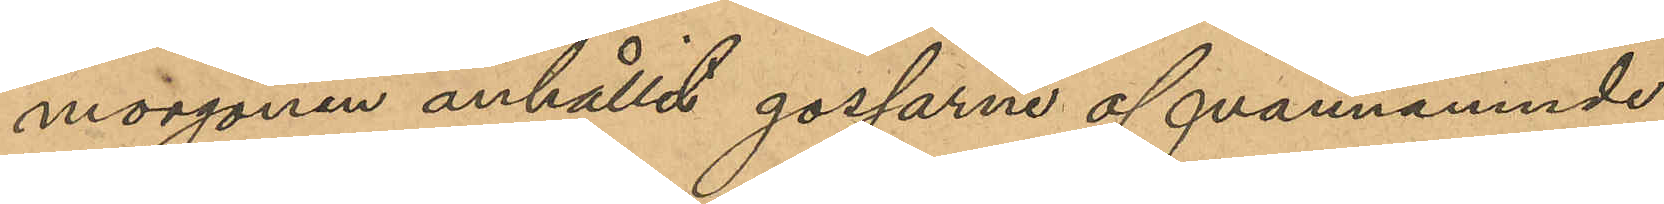morgonen anhållit gossarne ofvannämnde
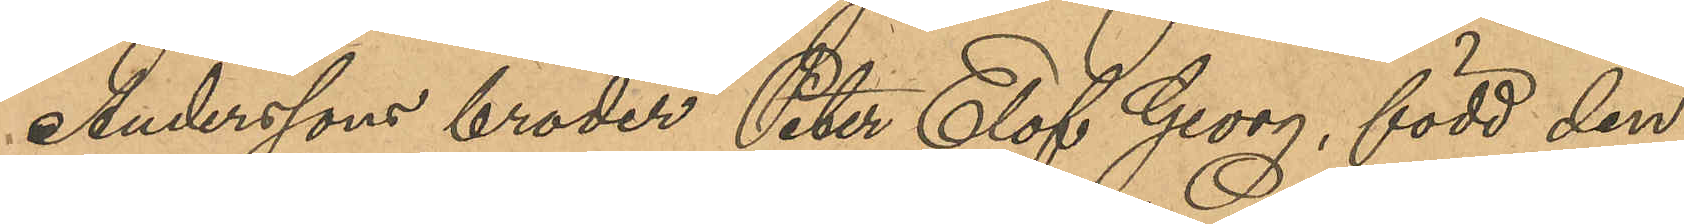Anderssons broder Peter Elof Georg, född den
